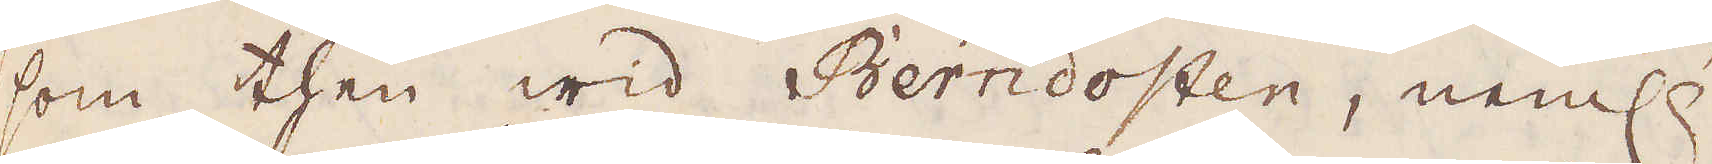som then wid Berndosten, neml:
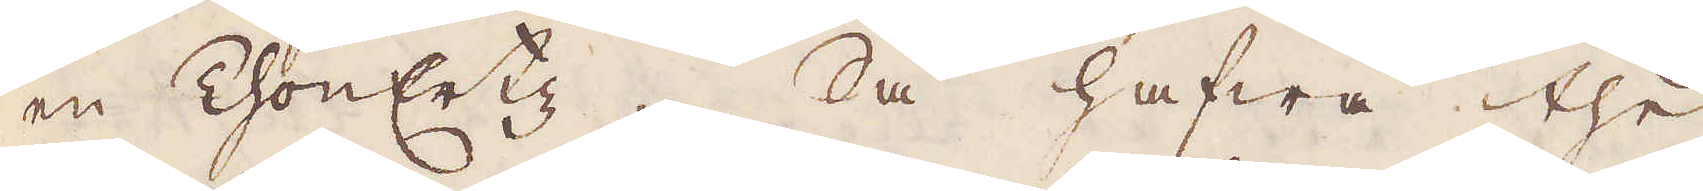en ChonErtz. Så hafwa the
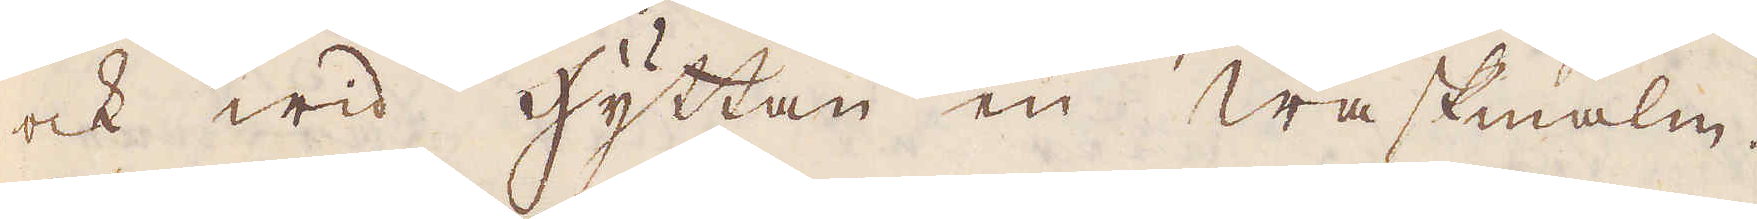ock wid hyttan en waskmalm.
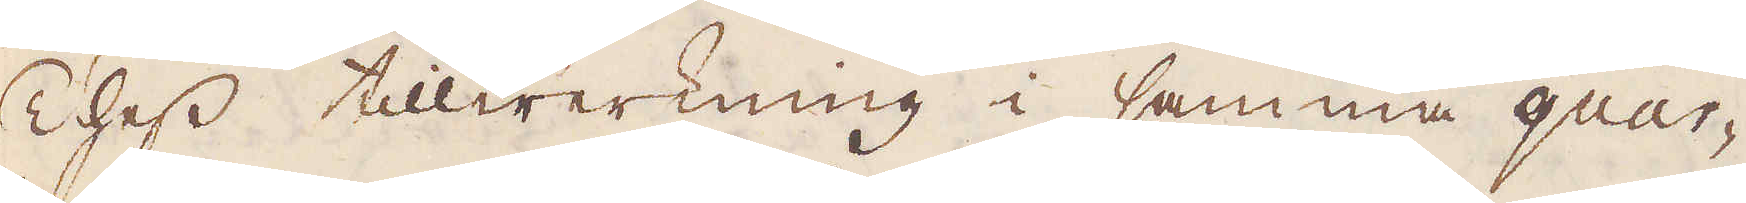Thess tillwerkning i samma quar-
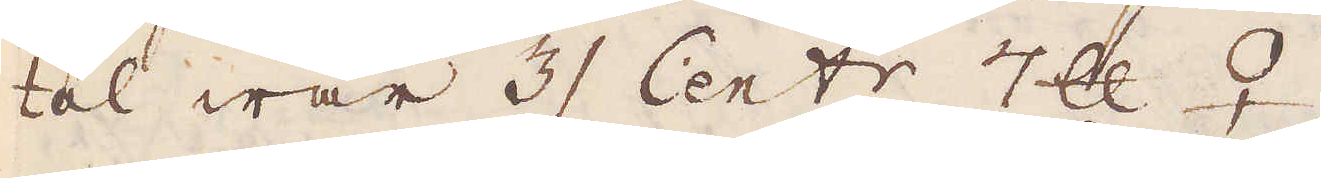tal war 3 Cent:r 7 skålpund ♀.
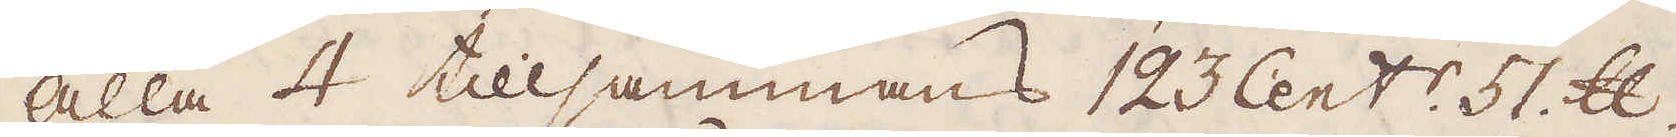Alla 4 tillsammans 123 Cent:r 51 skålpund.
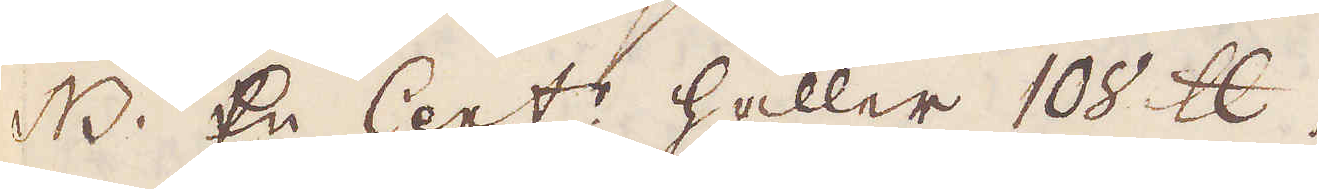N.B. En Cent:r håller 100 skålpund.
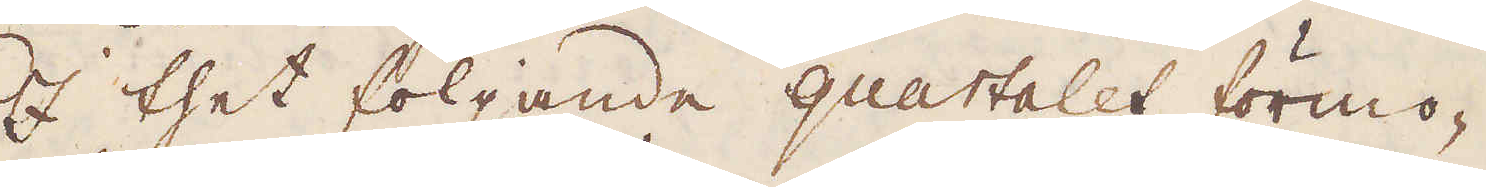I thet följande quartalet förmo-
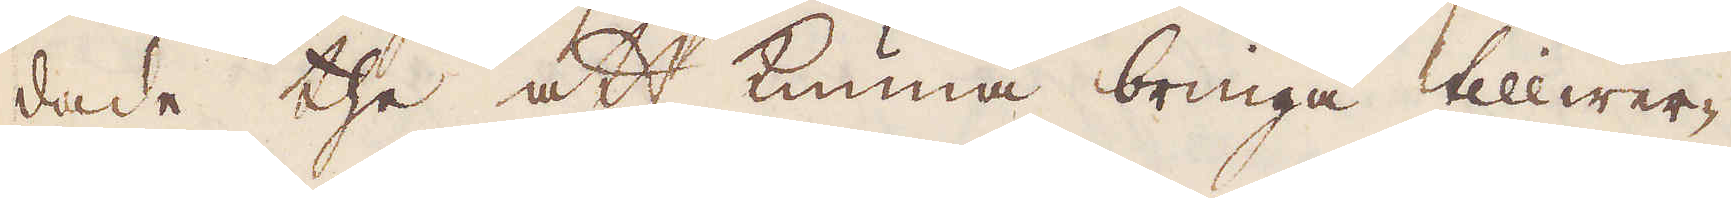dade the att kunna bringa tillwer-
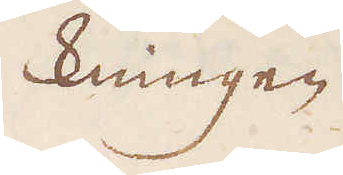kningen
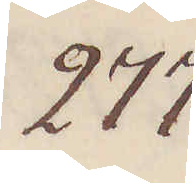277.
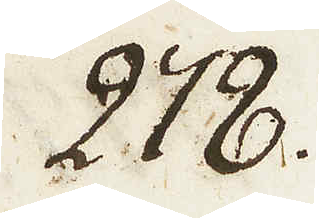278.
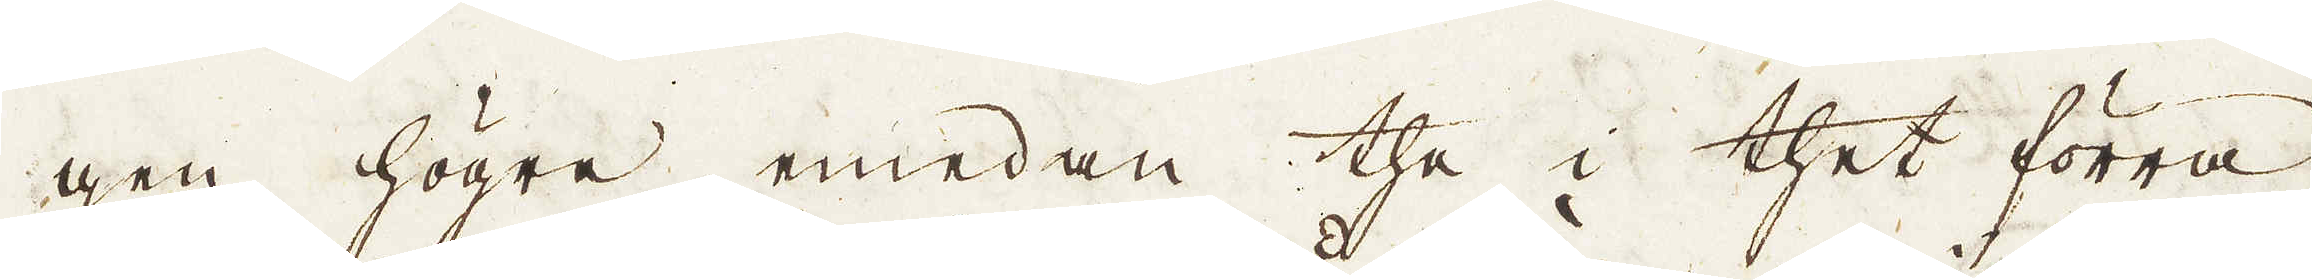gen högre, emedan the i thet förra
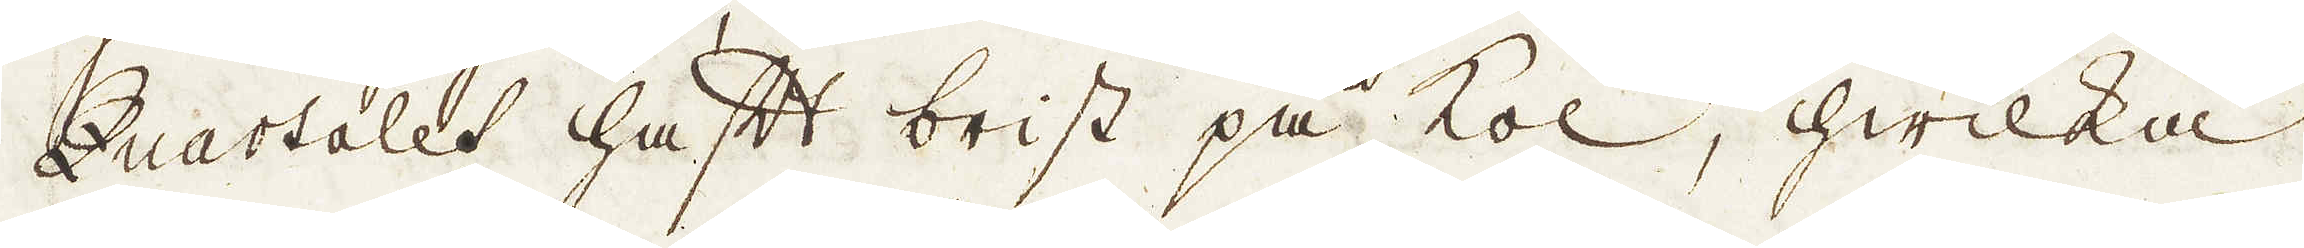Quartalet haft brist på kol, hwilka
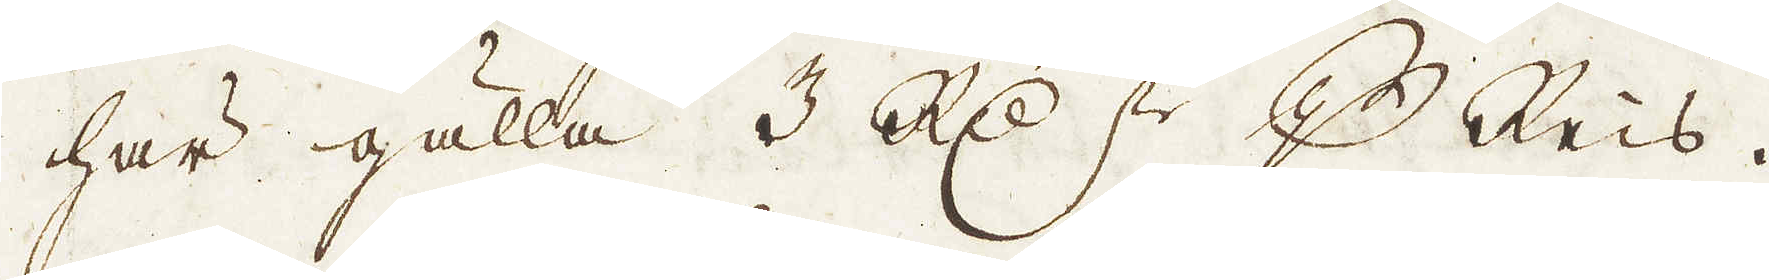här gälla 3 R:dr p Reis.
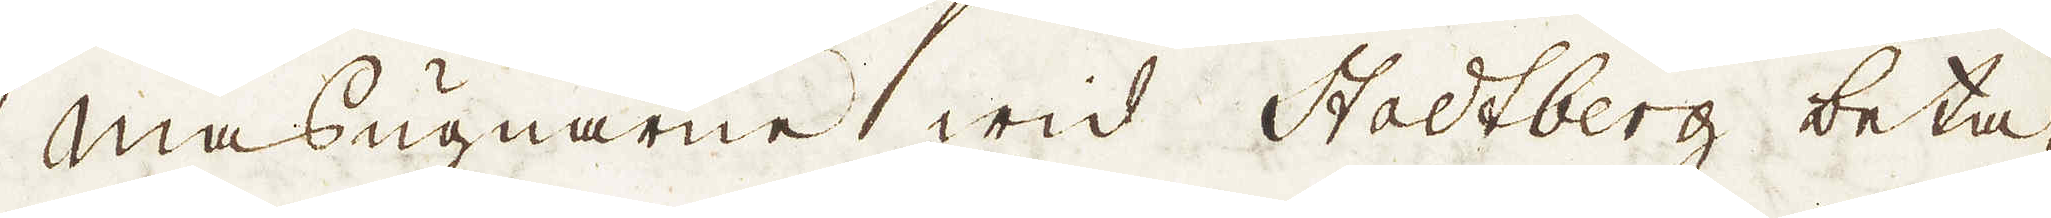Masugnarne wid Stadtberg beta-
